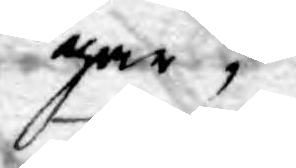gar,
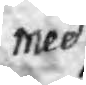med
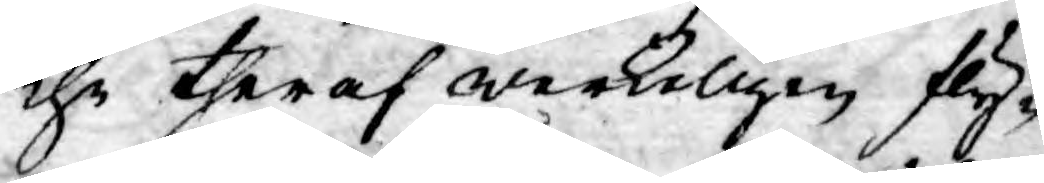the theraf werkeligen fly¬
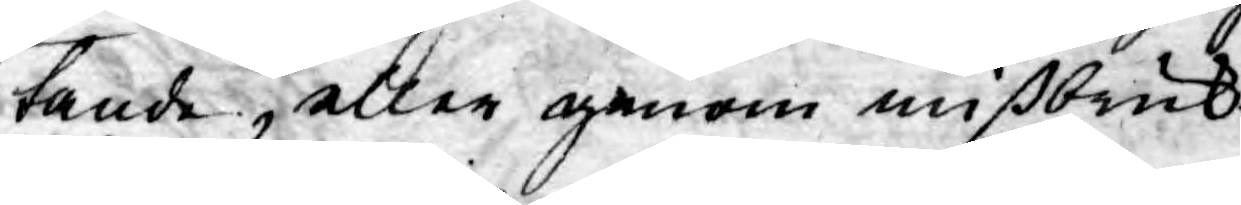tande, eller genom mißbruk
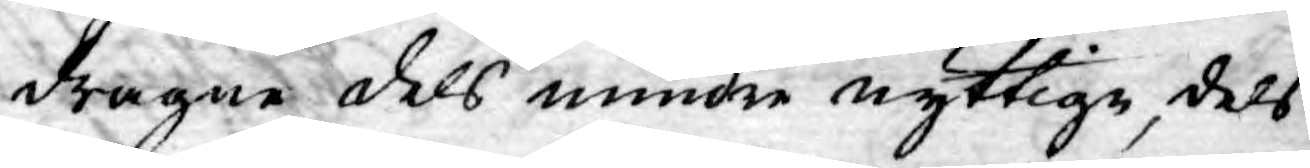dragne dels mindre nyttige, dels
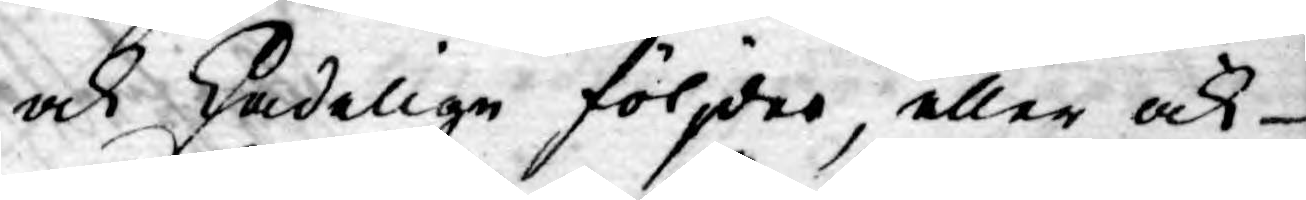ock skadelige följder, eller ock
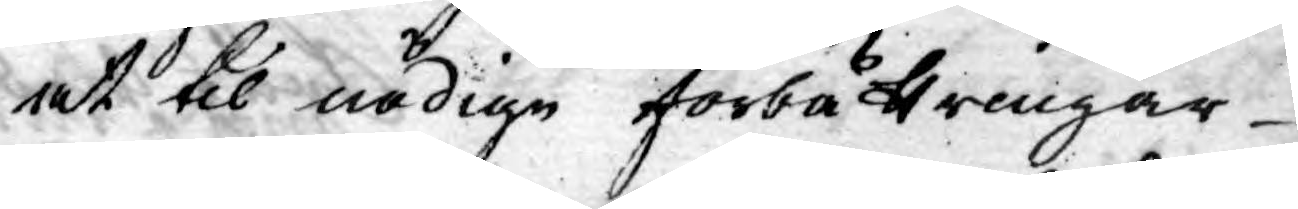at til nödige förbättringar
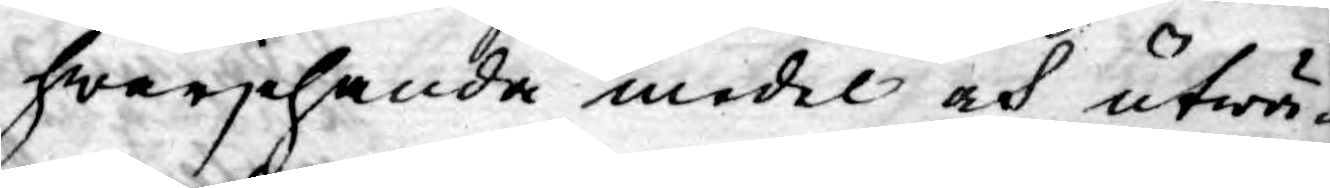hwarjehanda medel och utwä¬
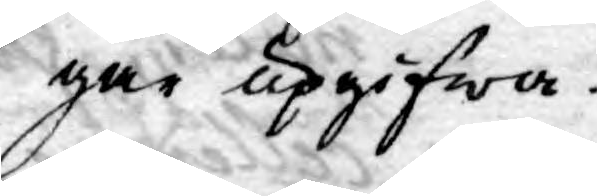gar upgifwa.
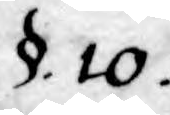§. 10.
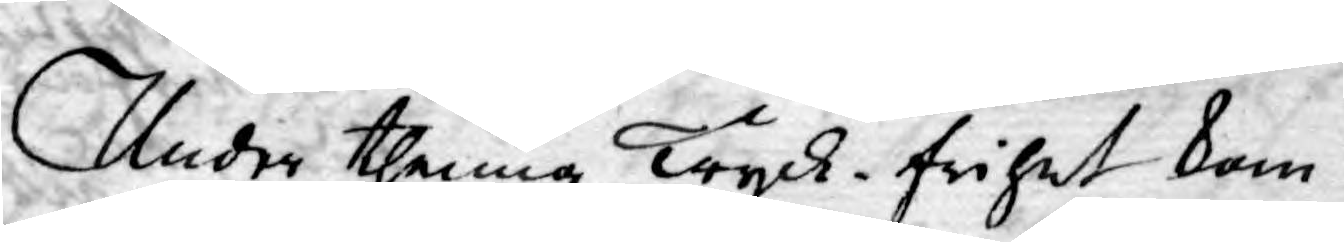Under thenna Tryck-frihet kom¬
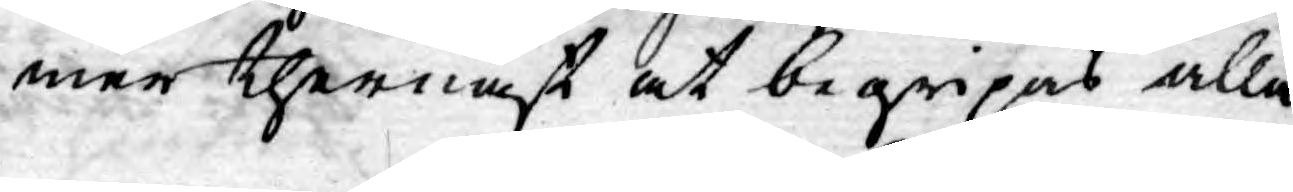mer thernäst at begripas alla
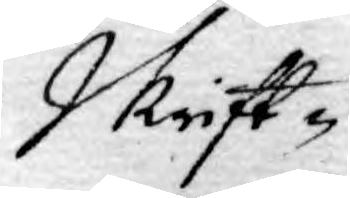Skrift-
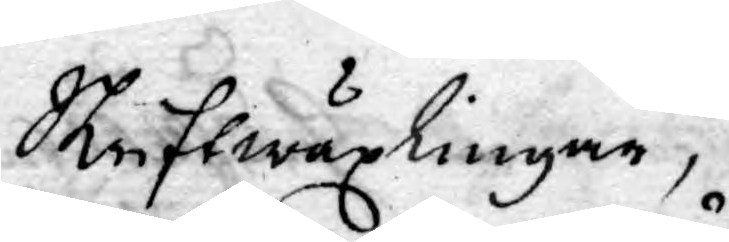Skriftwäxlingar,
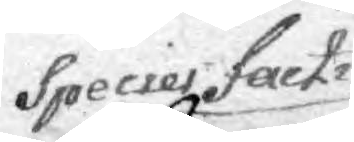Species Fack-
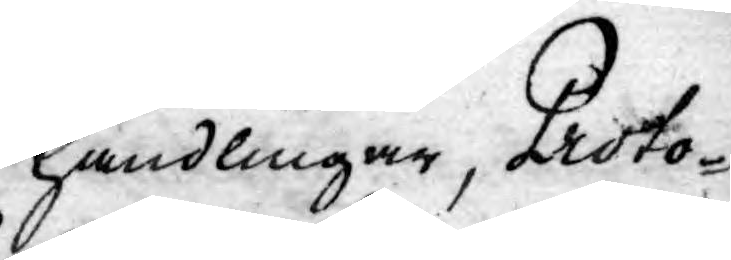handlingar, Proto¬
